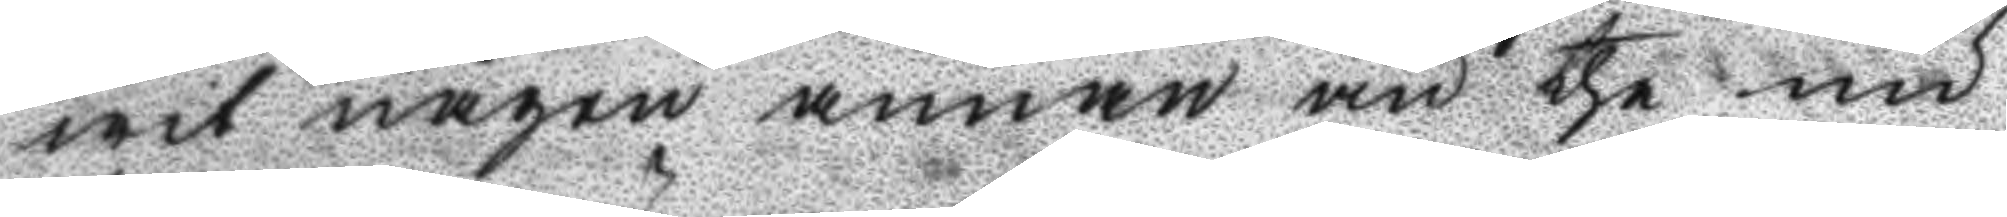wit någen annan än the nu
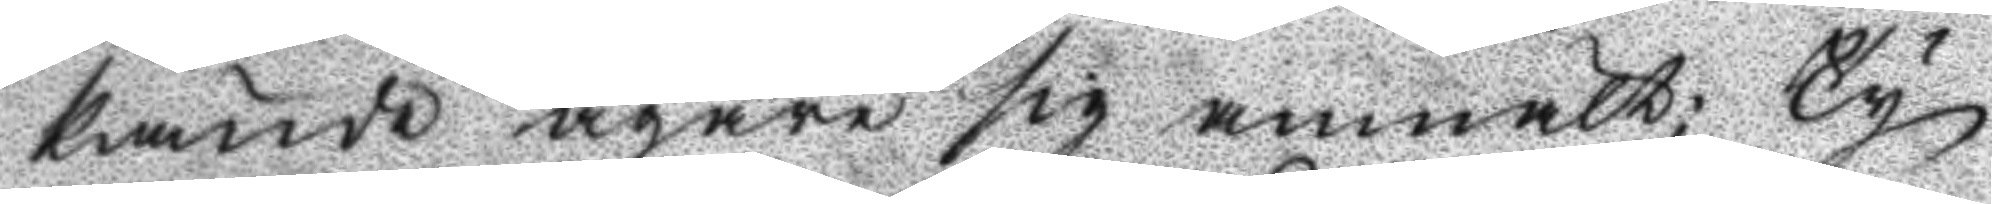kände ägare sig anmält; Ty
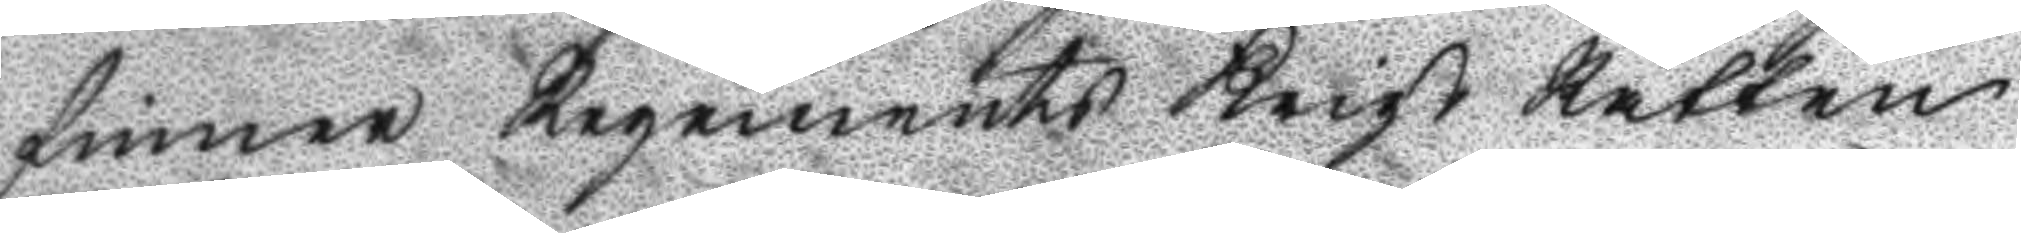finner Regements Krigs Rätten
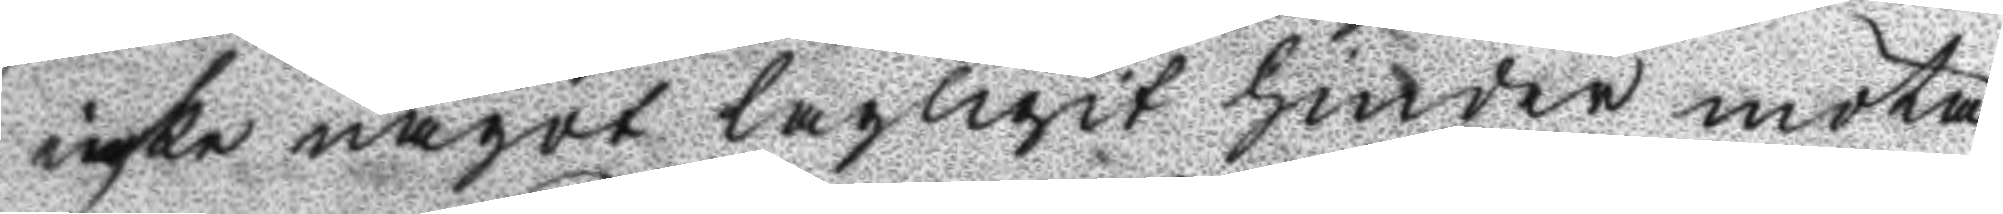icke något lagligit hinder möta
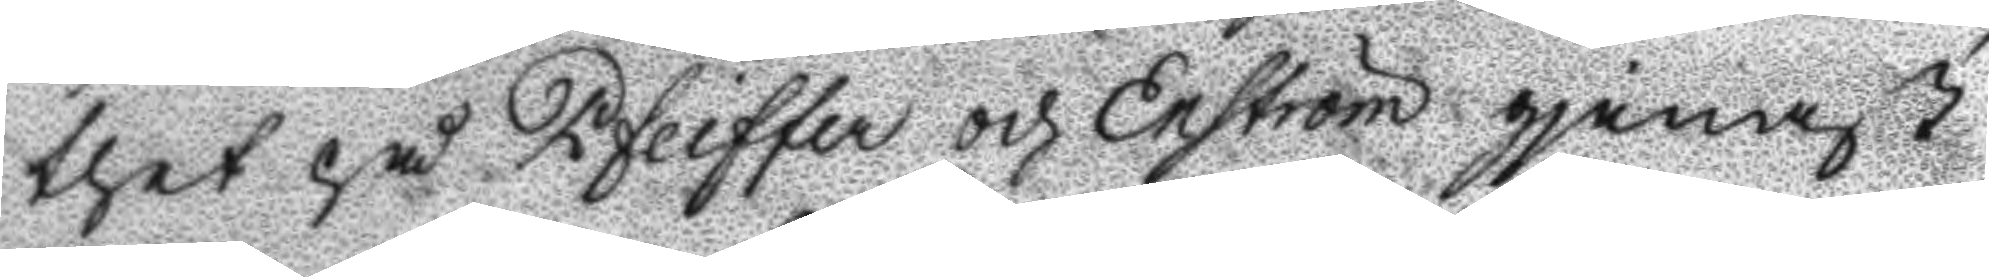thet på Pfeiffer och Enström gjenast
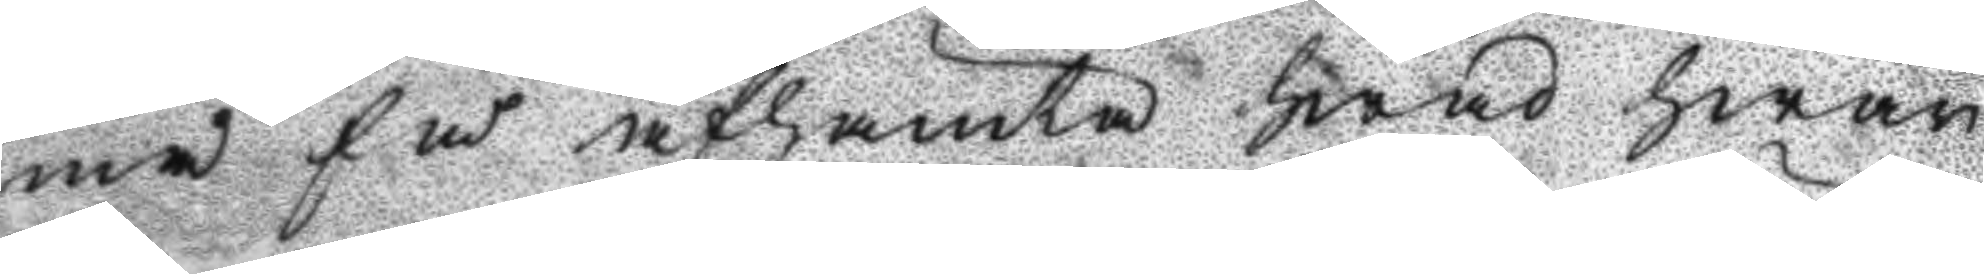må få afhämta hwad hwar
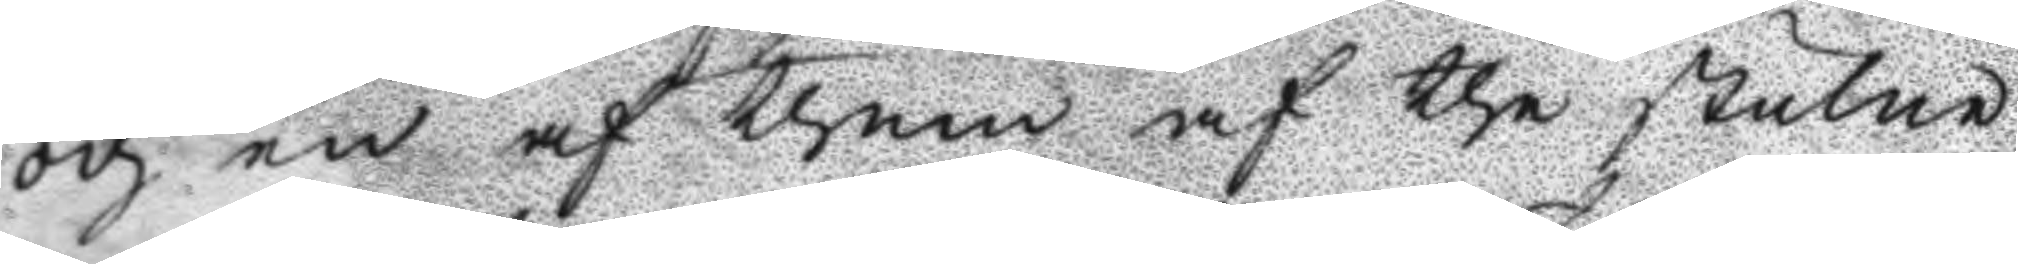och en af them af the stulne
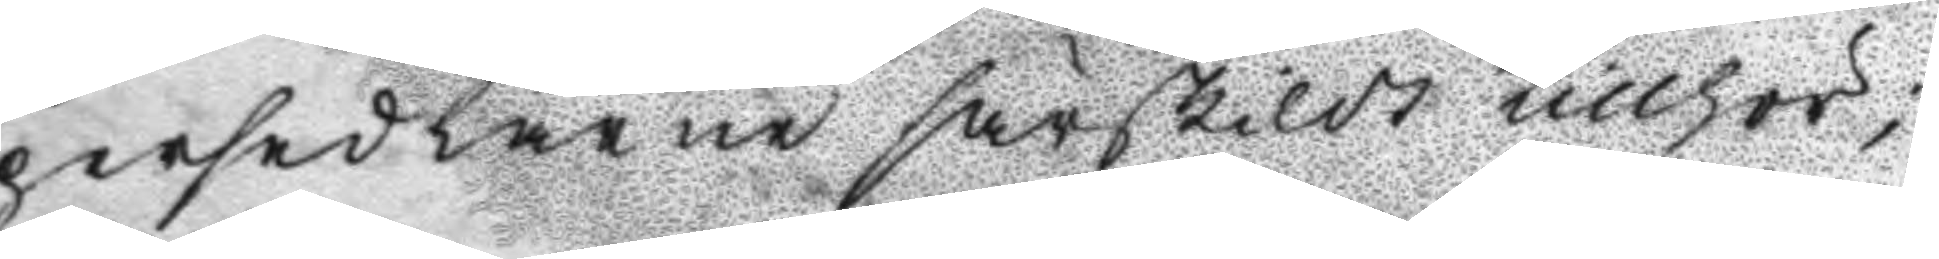persedlarne särskildt tillhör;
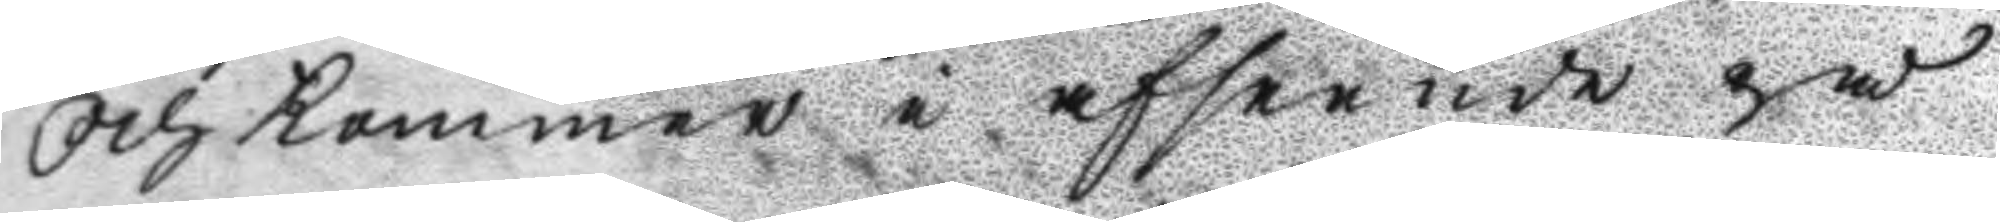Och kommer i afseende på
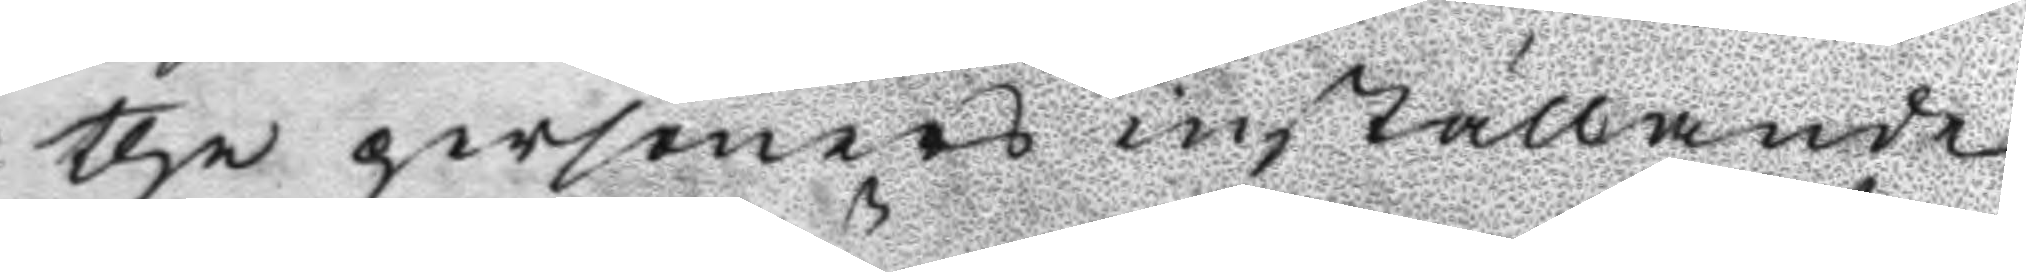the personers inställande
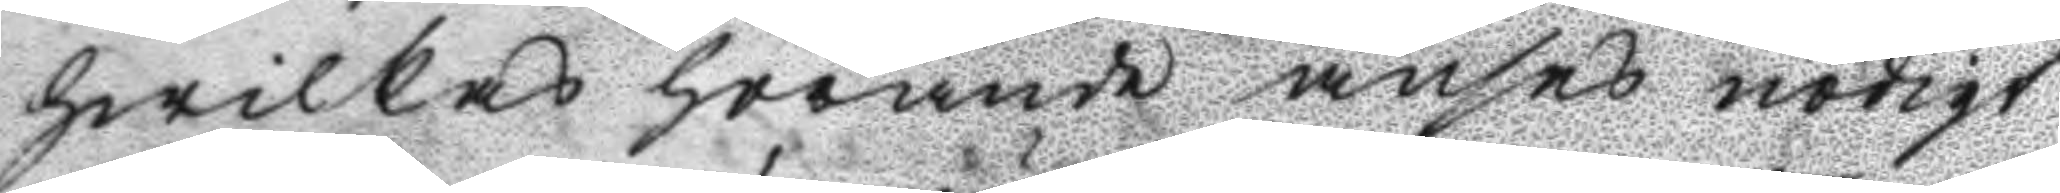hwilkas hörande anses nödigt
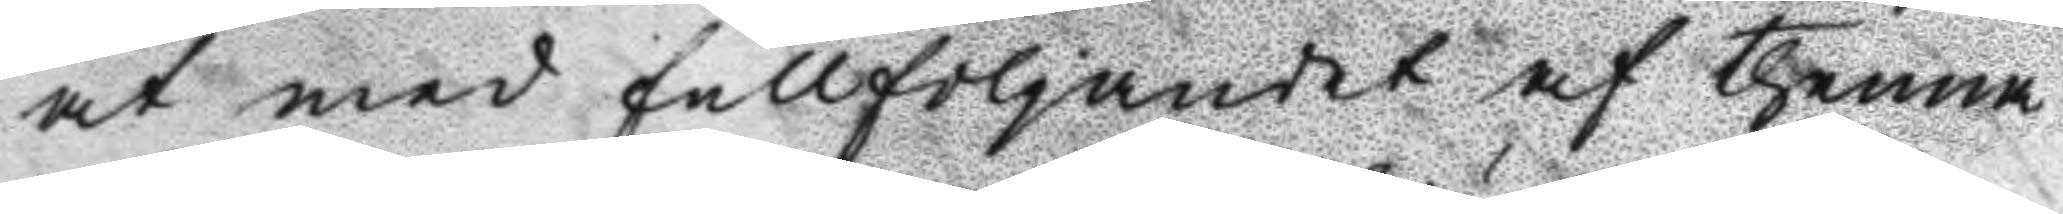at med fullföljamdet af thenna
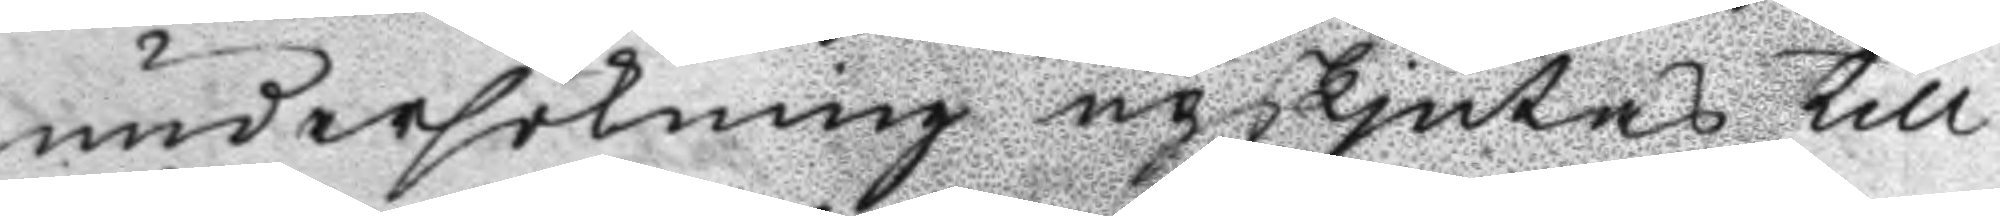undersökning upskjutas till
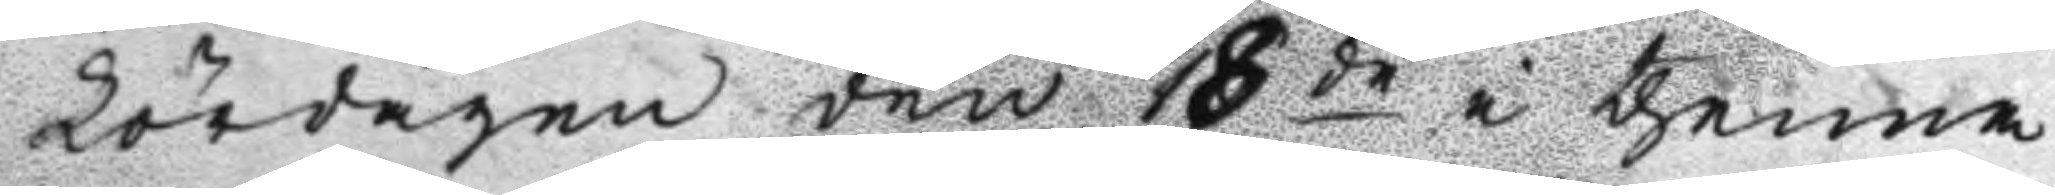Lördagen den 18de i thenna
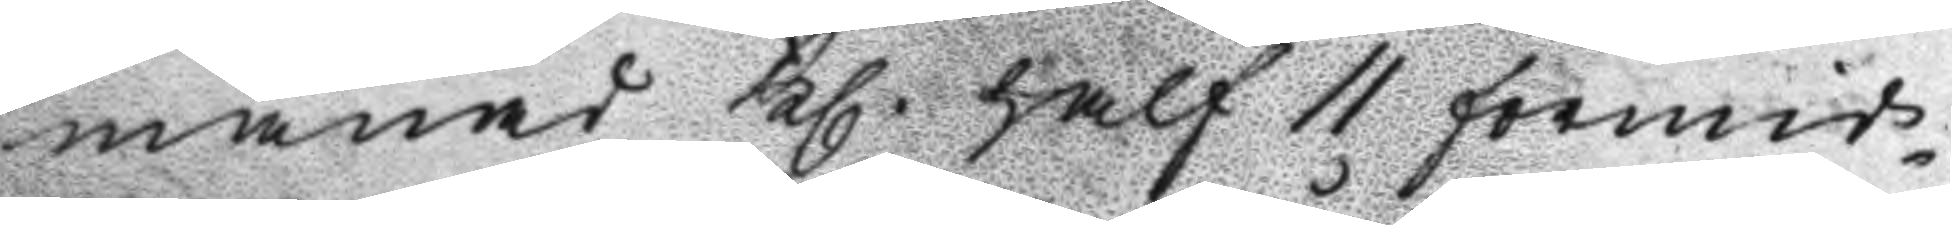månad Kl. half 11 förmid¬
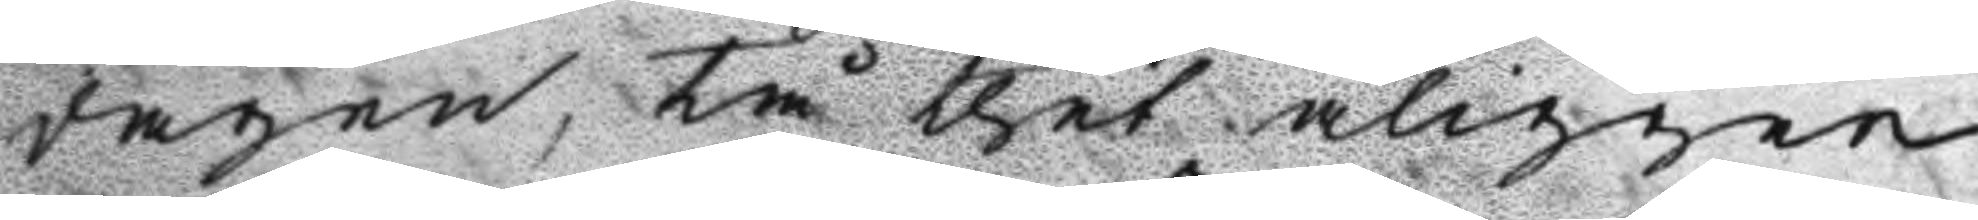dagen, tå thet åligger
